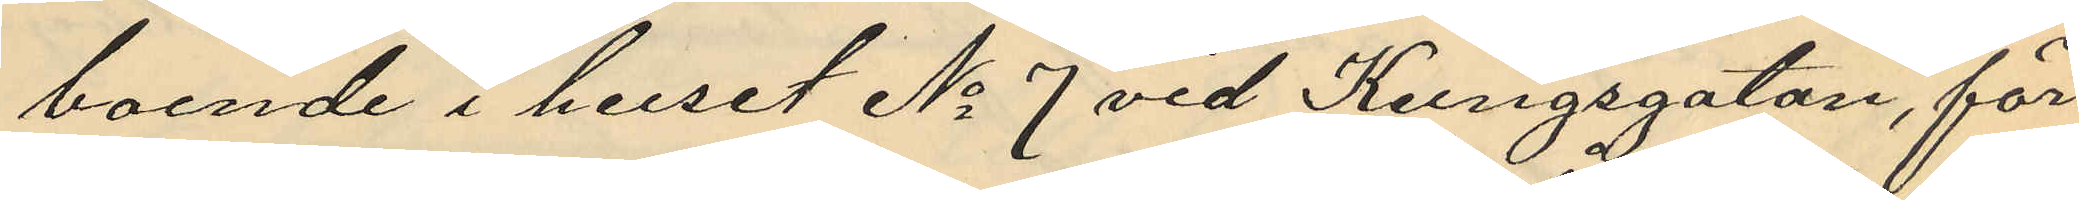boende i huset No 7 vid Kungsgatan, för
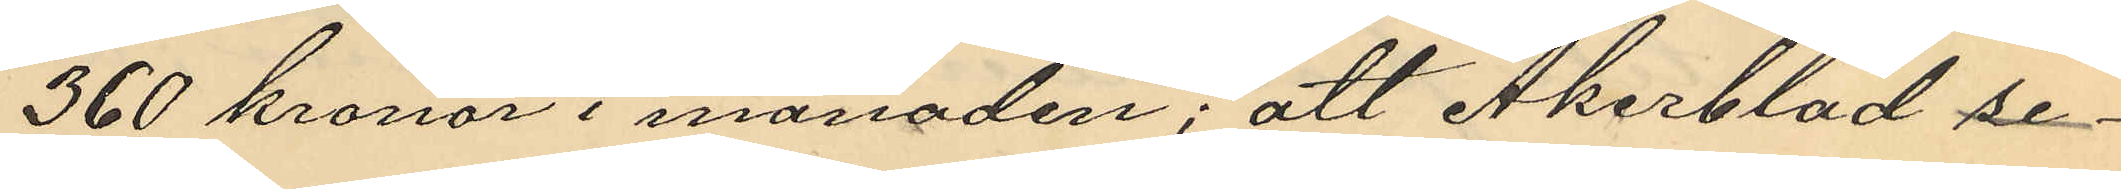360 kronor i månaden; att Åkerblad se¬
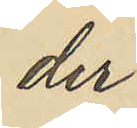der
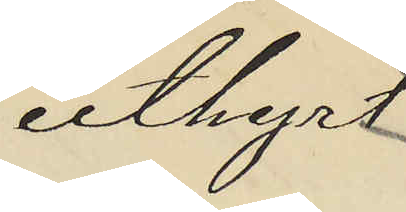uthyrt
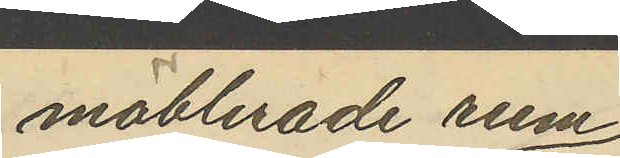möblerade rum
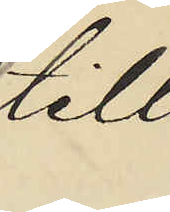till
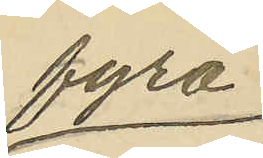fyra
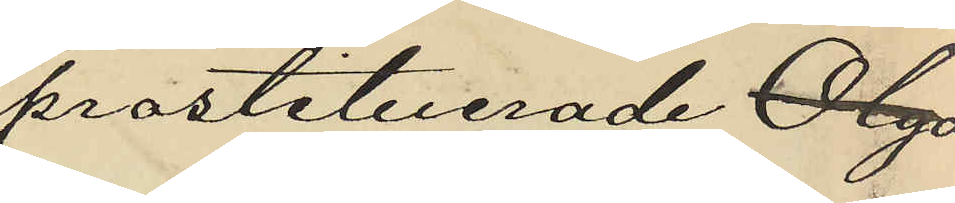prostituerade Olga
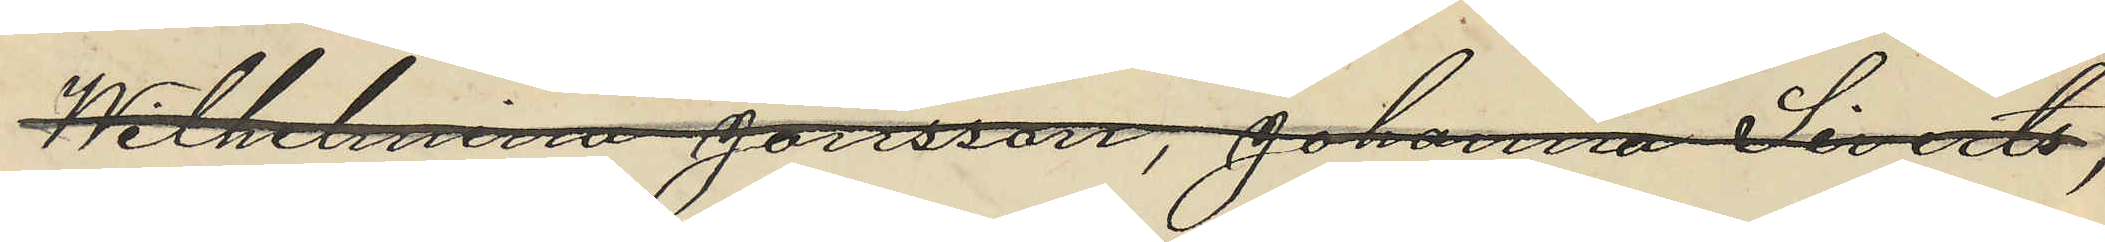Wilhelmina Jönsson, Johanna Siverts,
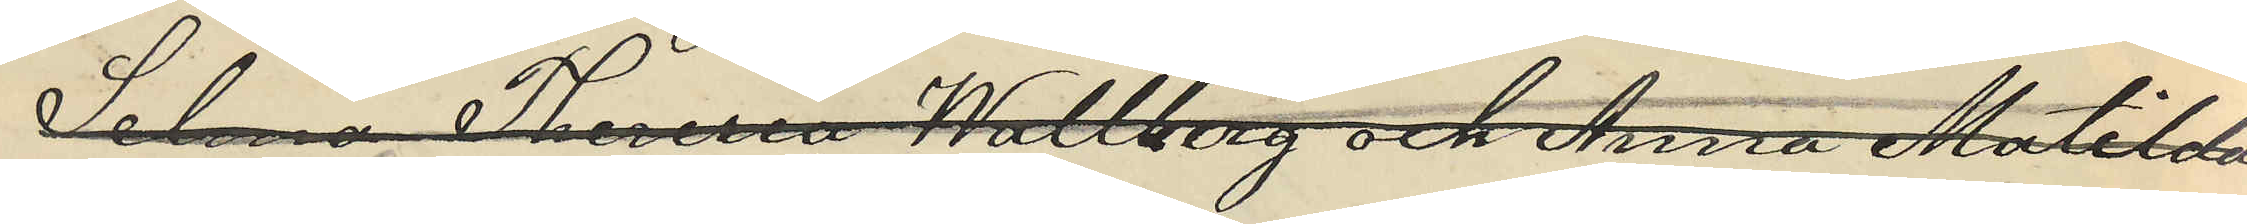Selma Theresia Wallberg och Anna Matilda
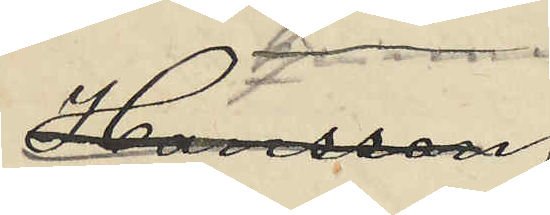Hansson,
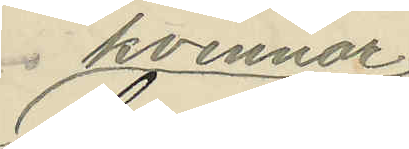kvinnor
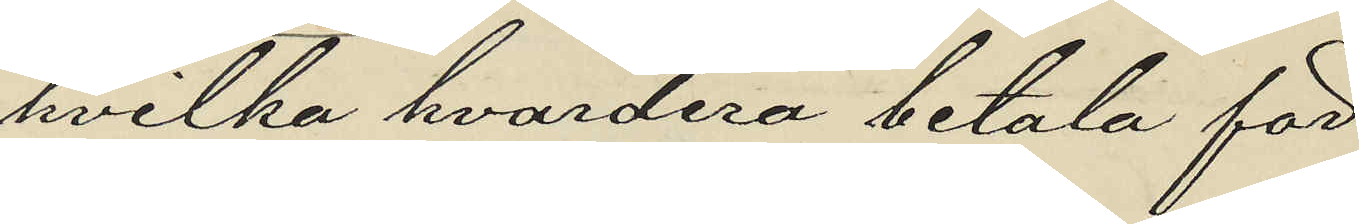hvilka hvardera betala för
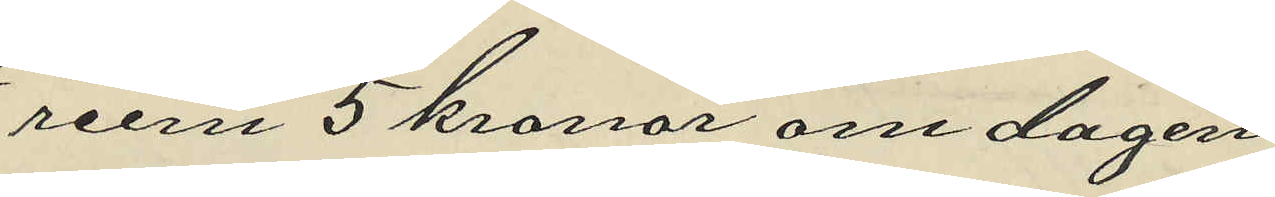rum 5 kronor om dagen;
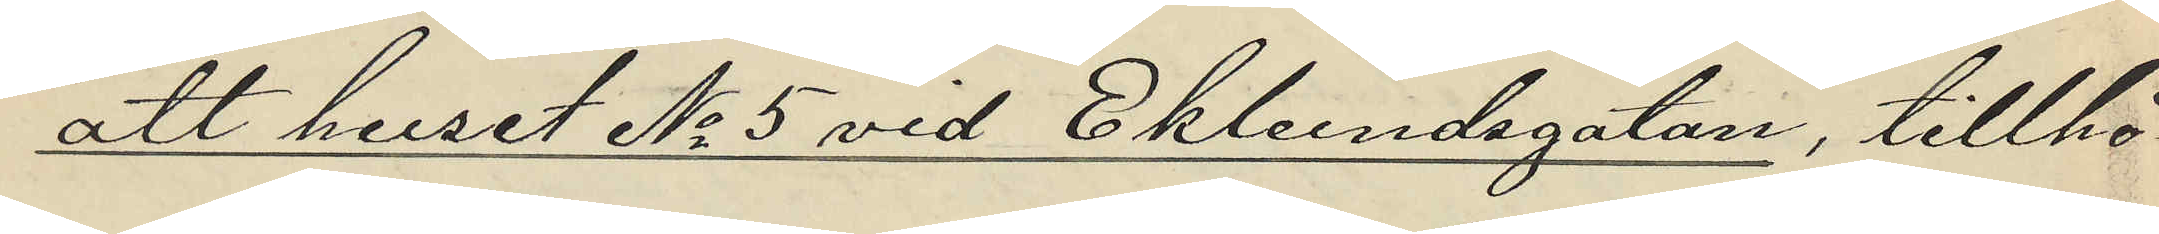att huset No 5 vid Ekelundsgatan, tillhö¬
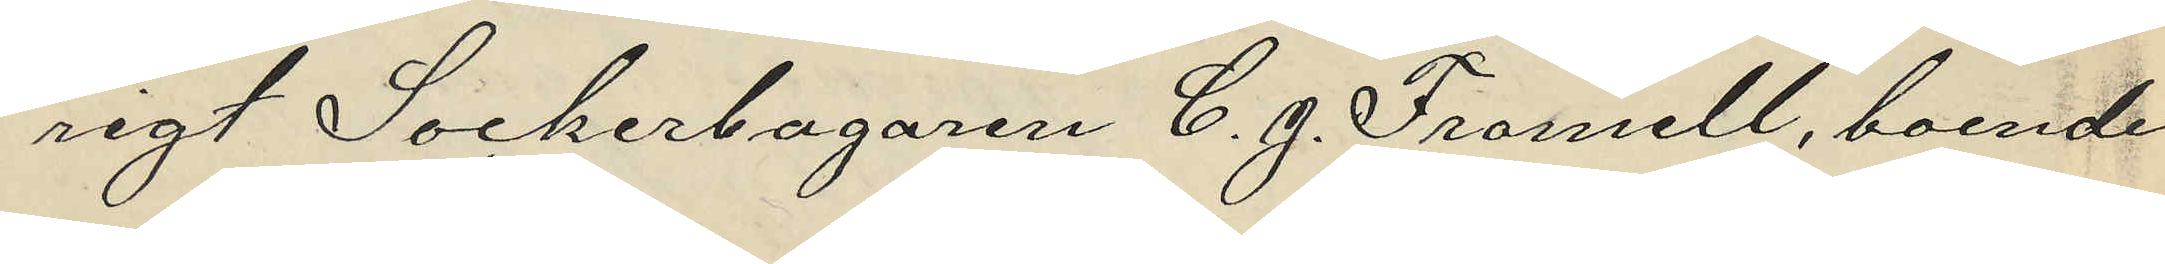rigt Sockerbagaren C. J. Fromell, boende
